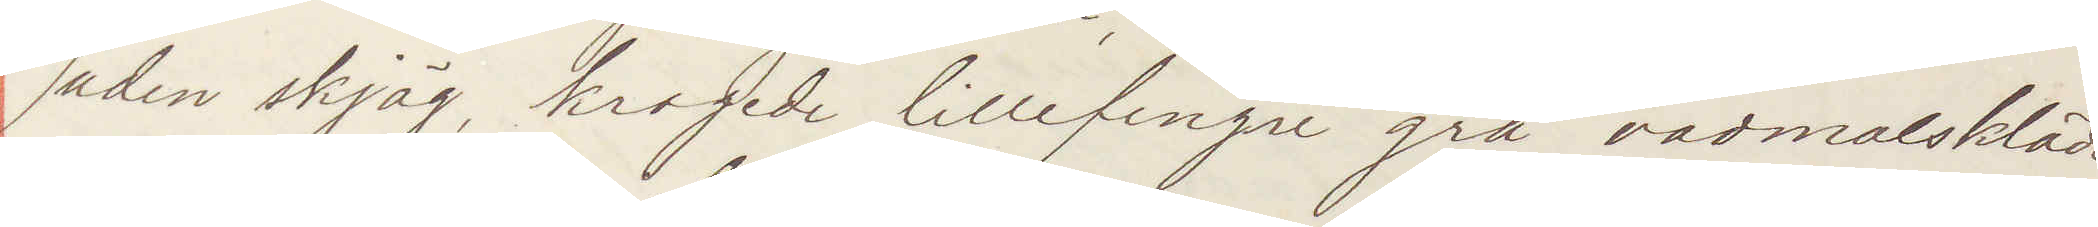uden skjäg, krogede lillfinger grå vadmalskläder
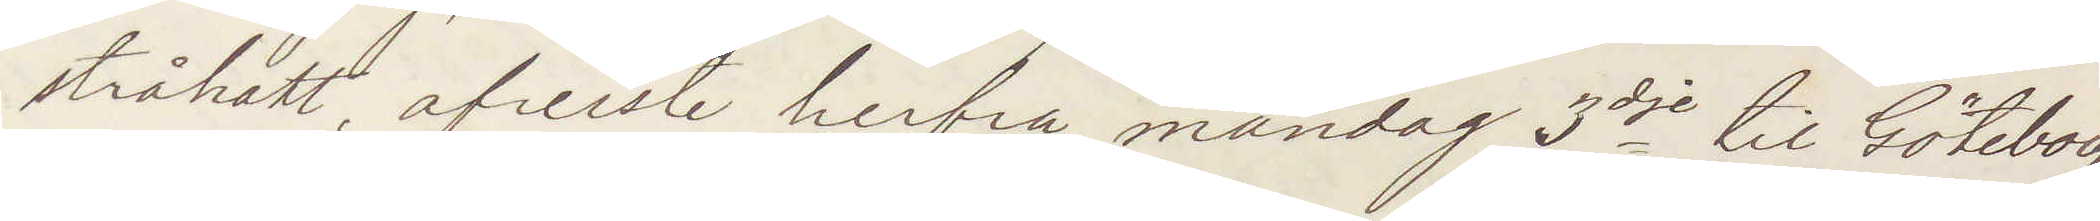stråhatt afreste herfra mandag 3dje til Göteborg
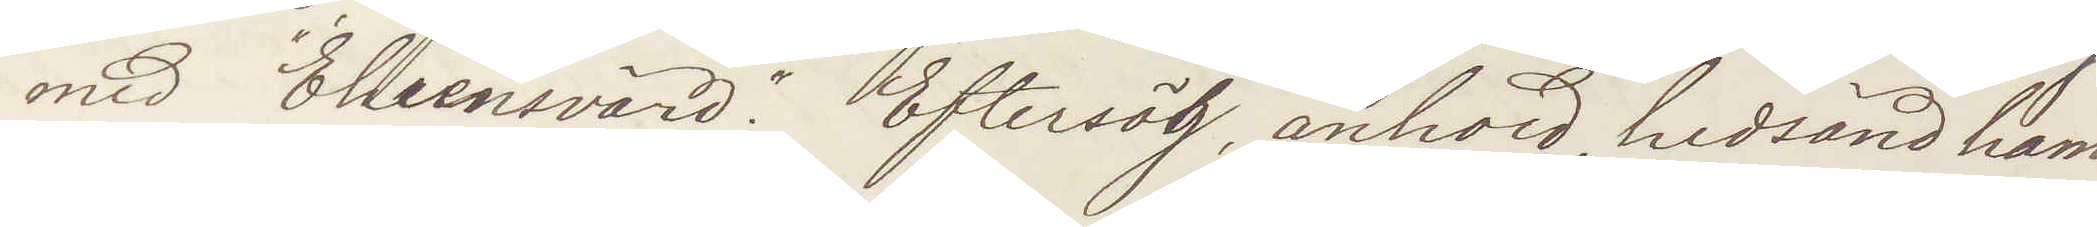med "Ehrensvärd". Eftersög, anhold, hidsänd ham
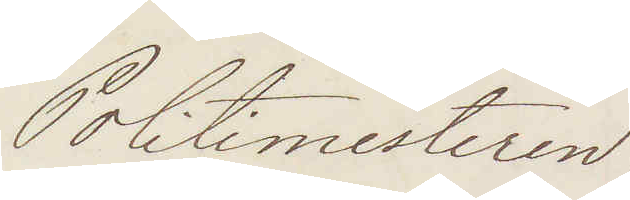Politimesteren:
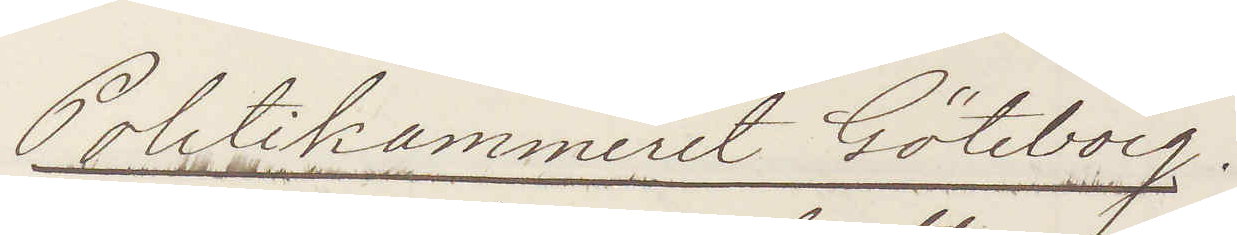Politikammeret Göteborg.
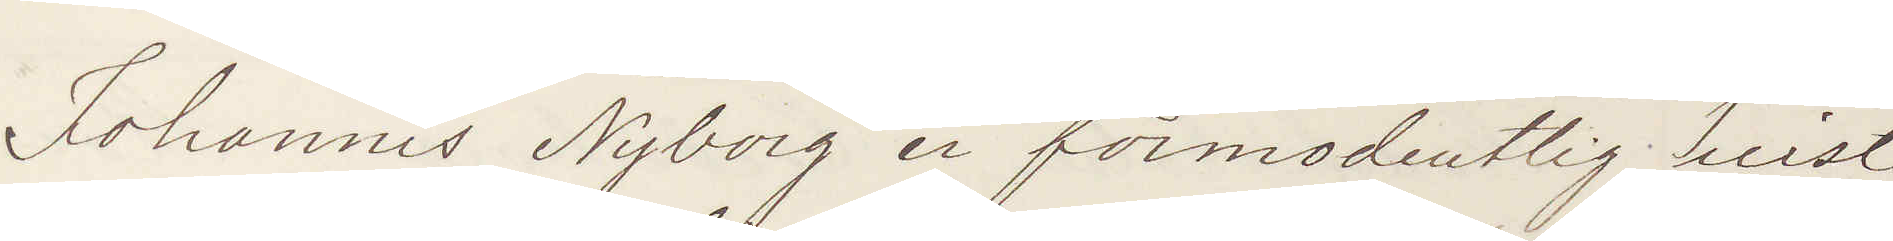Johannis Nyborg er förmodentlig reist
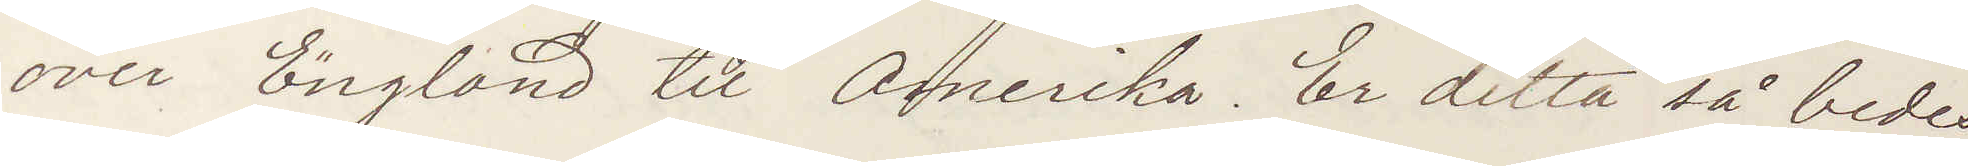over England til Amerika Er detta så bedes
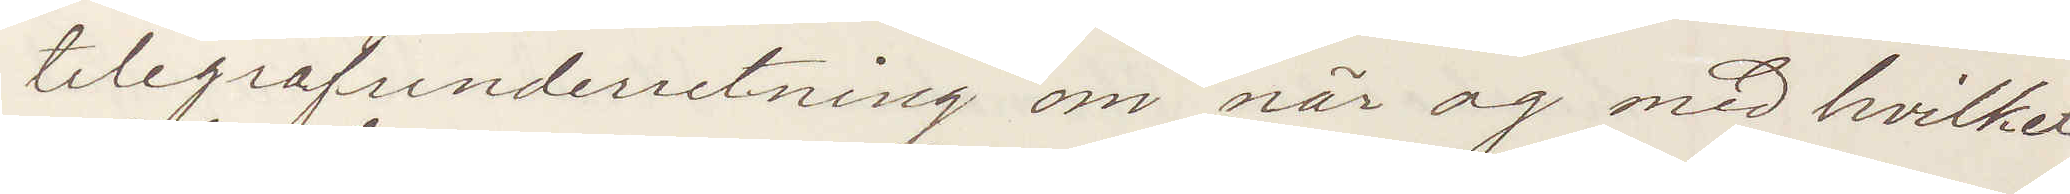telegrafunderretning om när og med hvilket
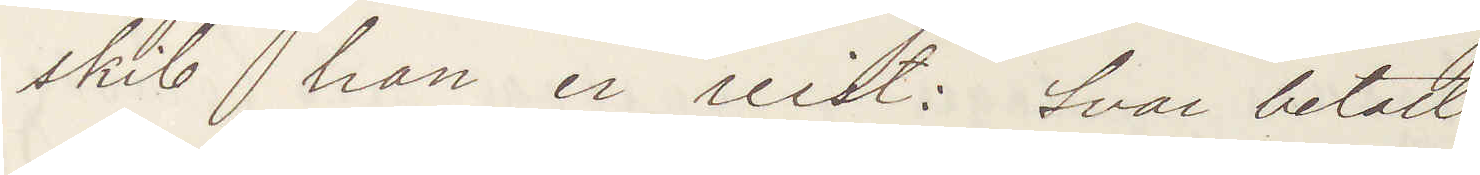skib han er reist: Svar betalt.
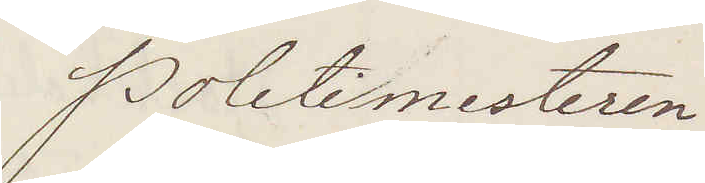Politimesteren
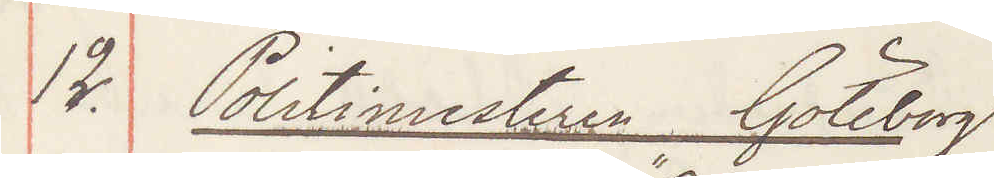12. Politimesteren Göteborg
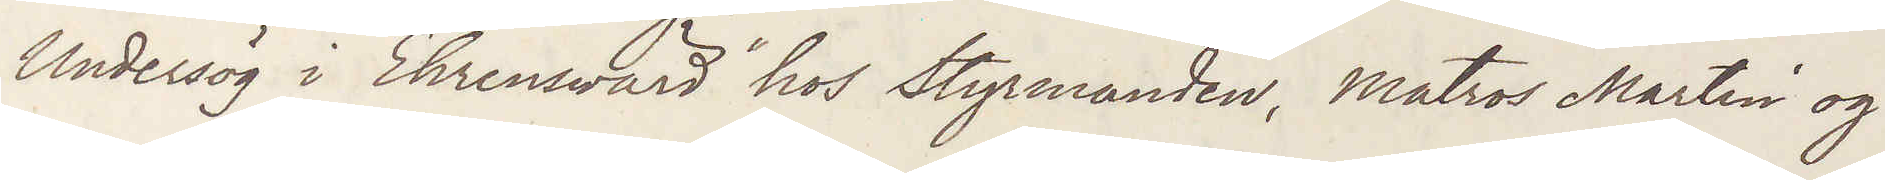Undersög i "Ehrensvärd" hos Styrmanden, Matros Martin og
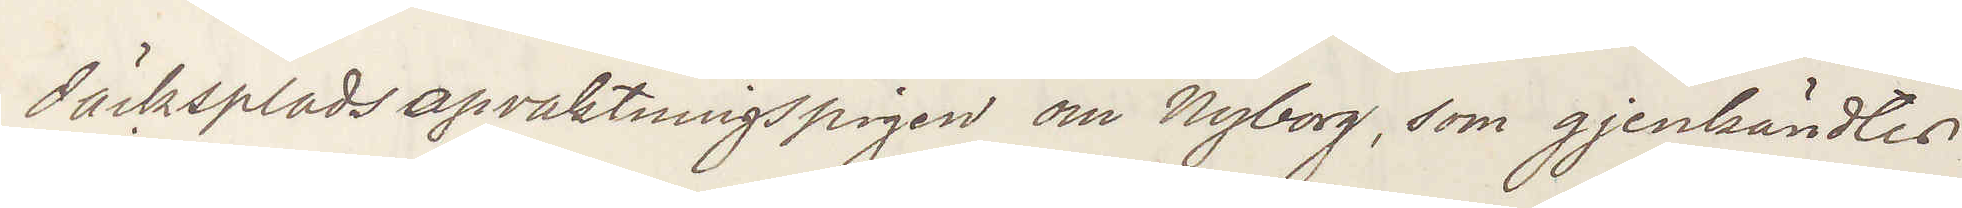däckspladsopvaktningspigen om Nyberg, som gjenkändtes
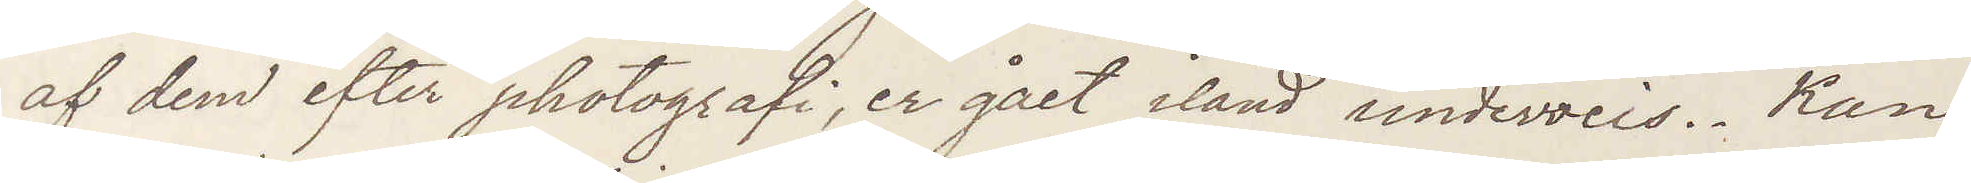af dem efter photografi, er gået iland underweis. Kan
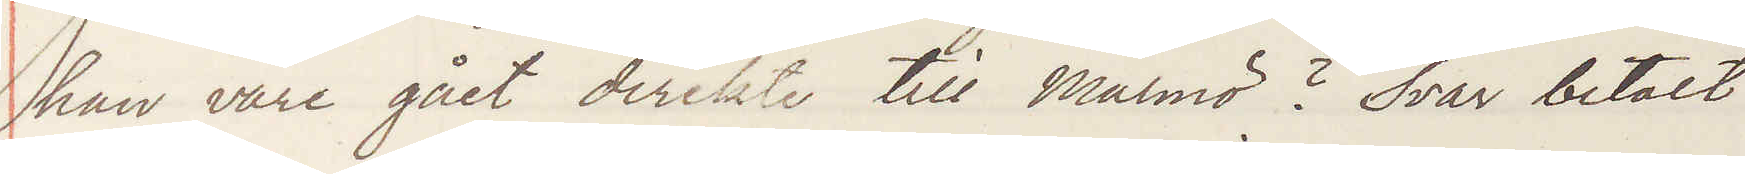han väre gået direkt till Malmö? Svar betalt
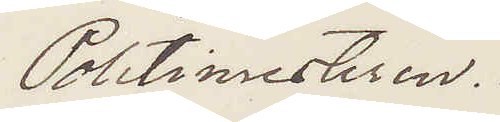Politimesteren.
